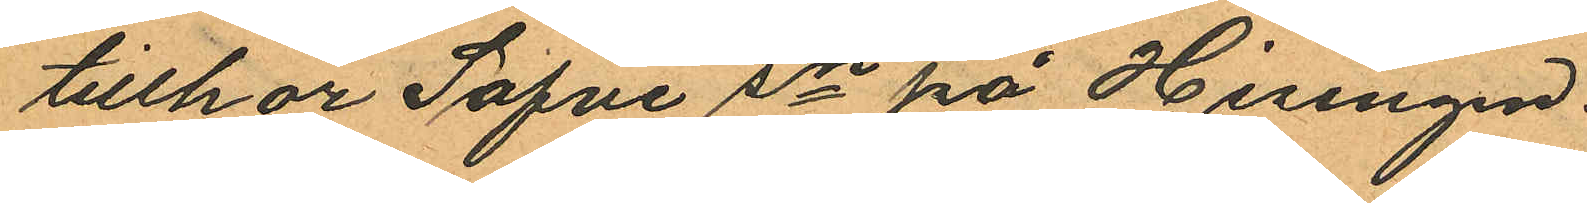tillhör Säfve sn på Hisingen.
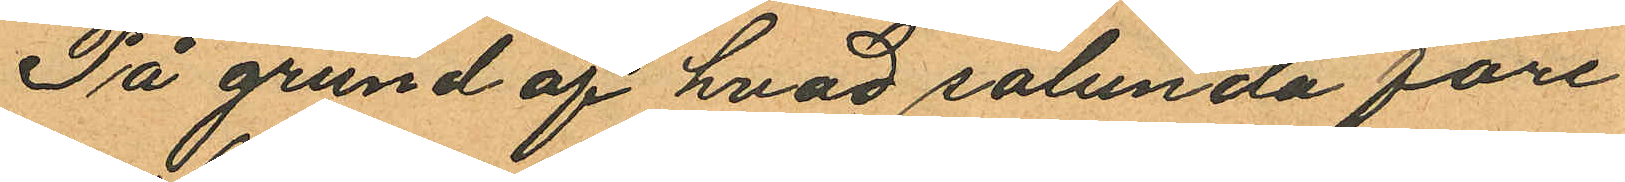På grund af hvad sålunda före¬
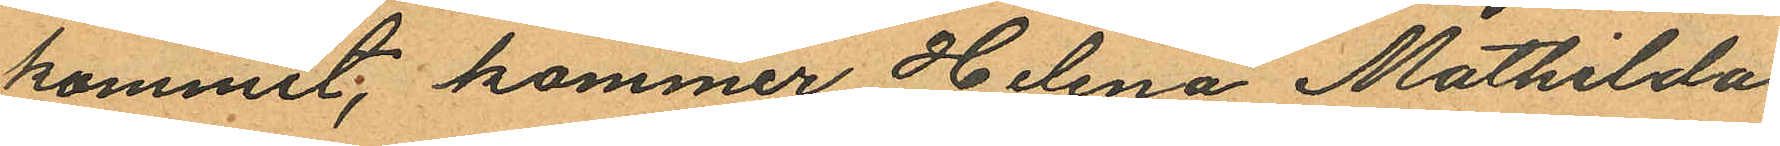kommit, kommer Helena Mathilda
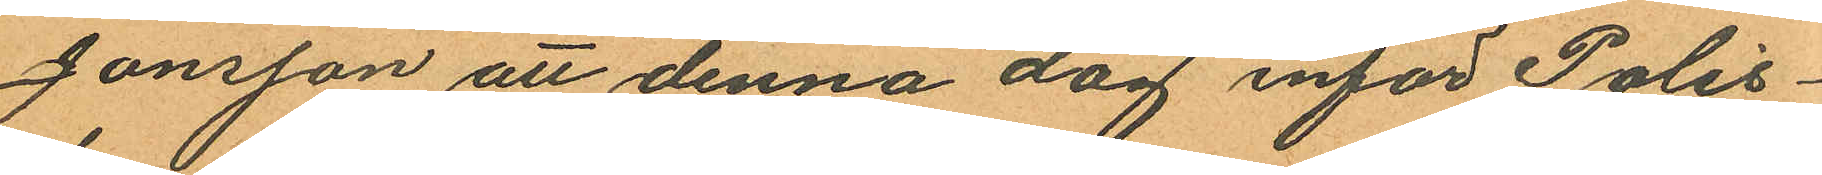Jonsson att denna dag inför Polis¬
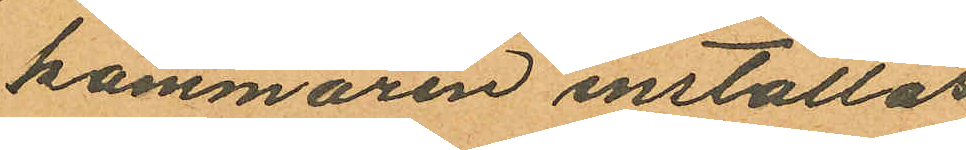kammaren inställas.
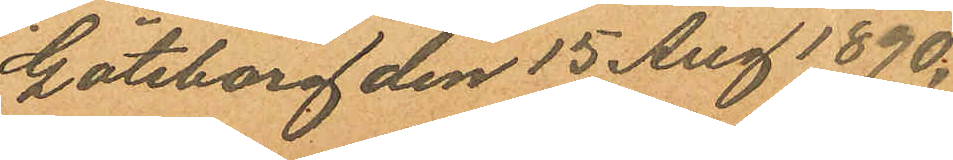Göteborg den 13 Aug 1890.
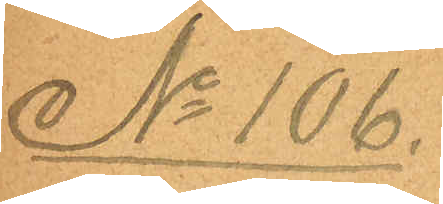No 106.
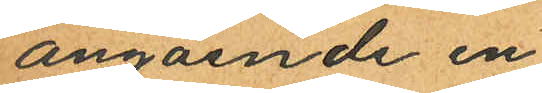angående en
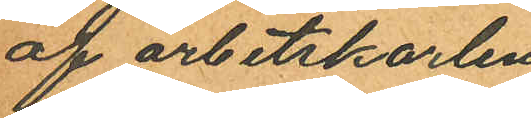af arbetskarlen
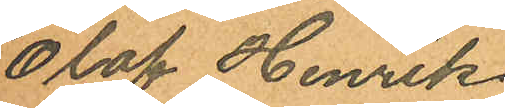Olof Henrik
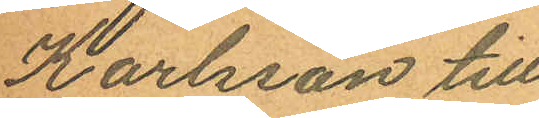Karlsson till
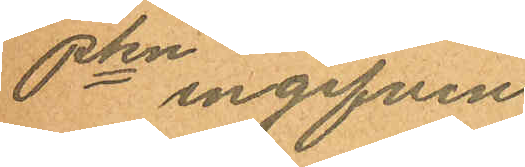Pkn ingifven
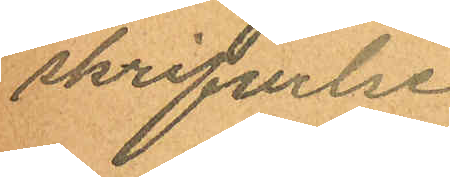skrifvelse.
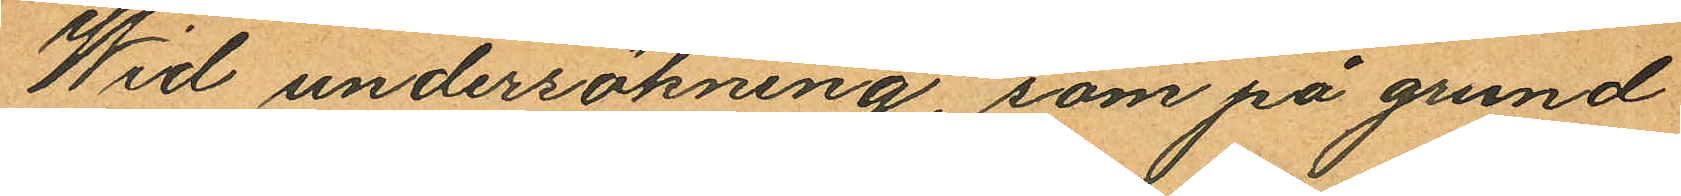Wid undersökning, som på grund
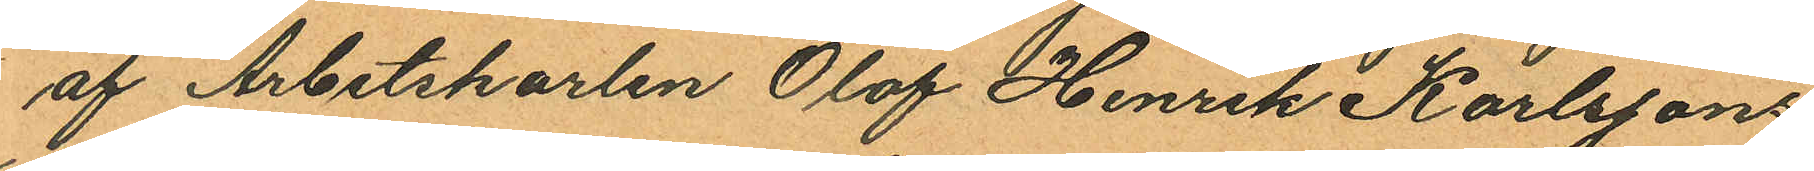af Arbetskarlen Olof Henrik Karlssons
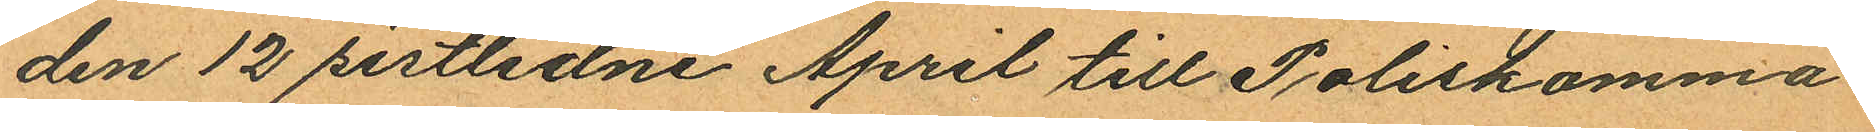den 12 sistlidne April till Poliskamma¬
